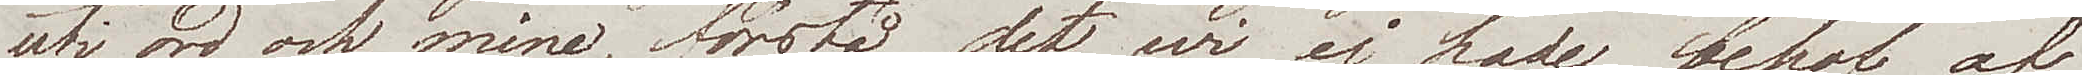uti ord och mine, förstå det wi ej hade behof af
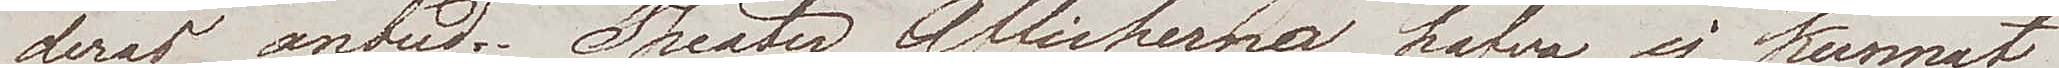deras anbud. Theater Afficherna hafwa ej kunnat
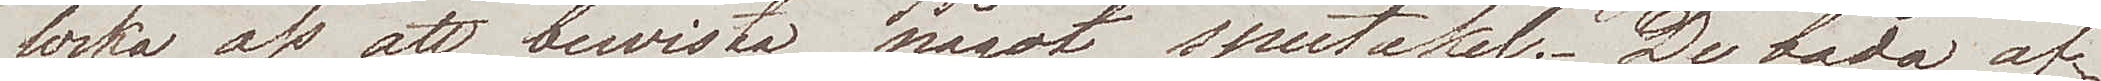locka oss att bewista något spectakel. De båda af¬
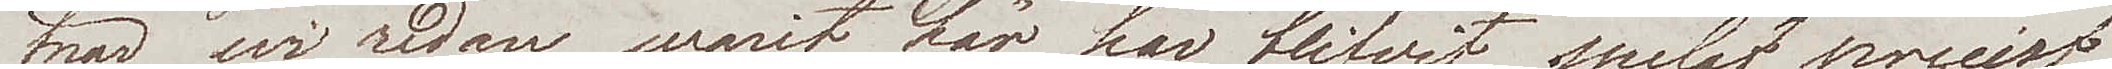tnar wi redan warit här, har blifvit spelat precist
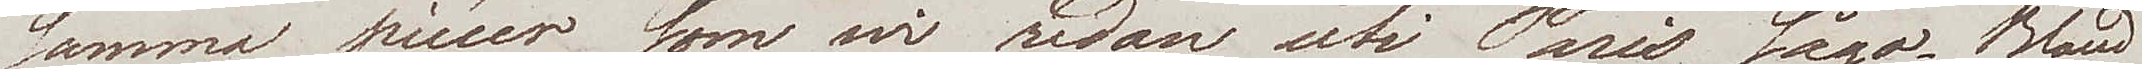samma piècer som wi redan uti Paris sågo. Bland
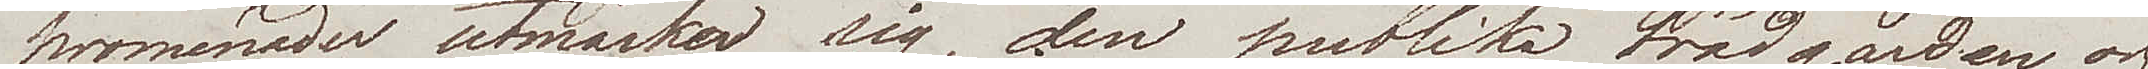promenader utmärker sig, den publika trädgården och
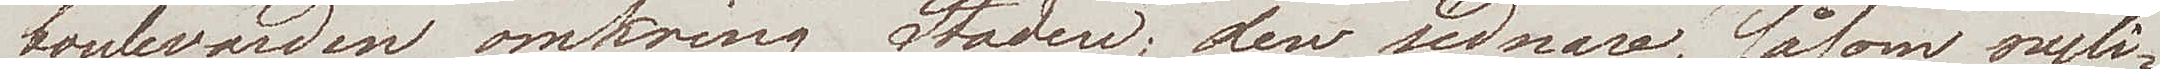boulevarden omkring Staden; den sednare, såsom nyli¬
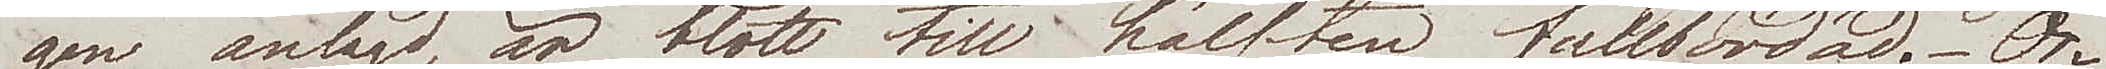gen anlagd, är blott till hälften fullbordad. Or¬
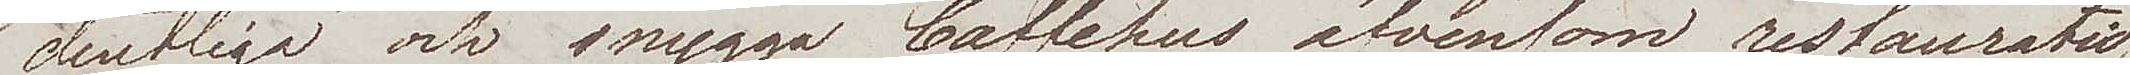dentliga och snygga Caffehus äfvensom restauratio¬
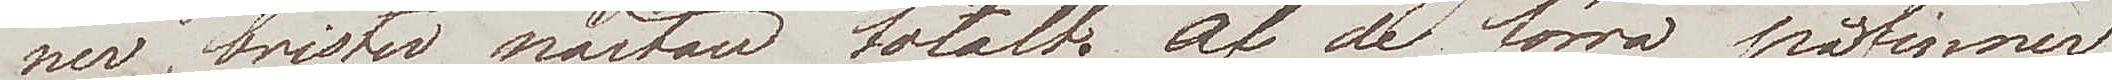ner, brister nästan totalt. Af de förra påfinner
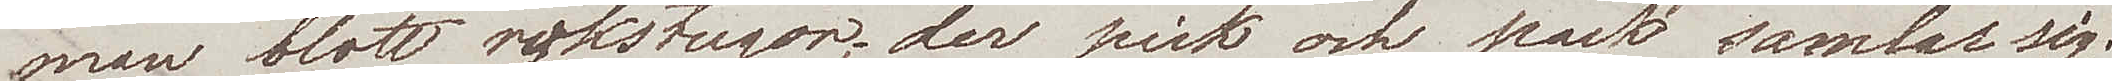man blott rökstugor, der pick och pack samlar sig;
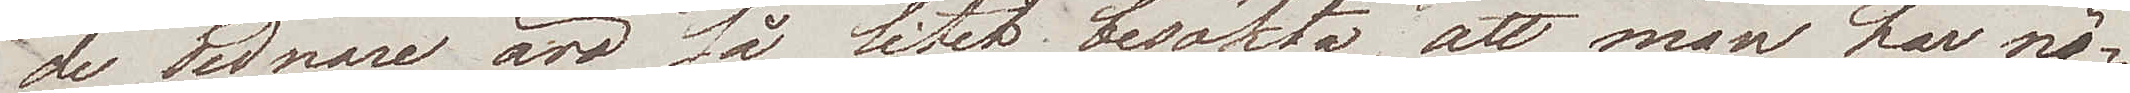de sednare äro så litet besökta, att man har nö¬
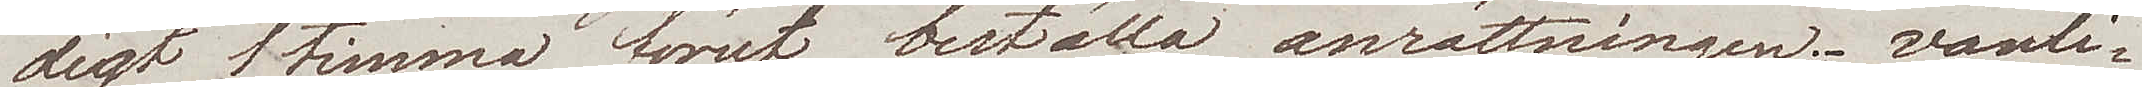digt 1 timma förut beställa anrättningen. vanli¬
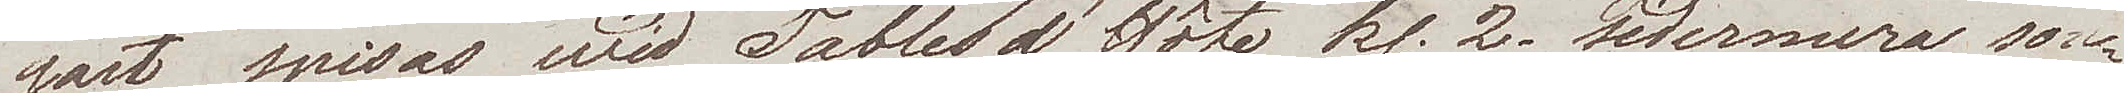gast spisas wid Tables d'Hôte kl.2. sedermera sou¬
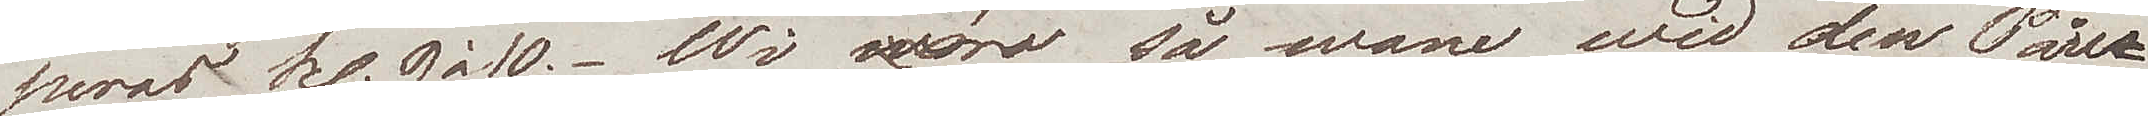peras kl. 9 à 10. Wi äro så wane wid den Pari¬
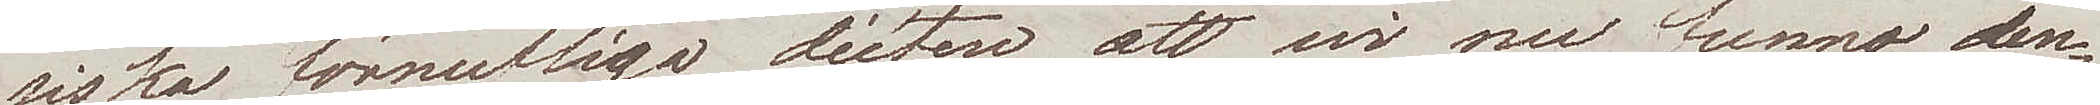siska förnuftiga diéten, att wi nu funno den¬
